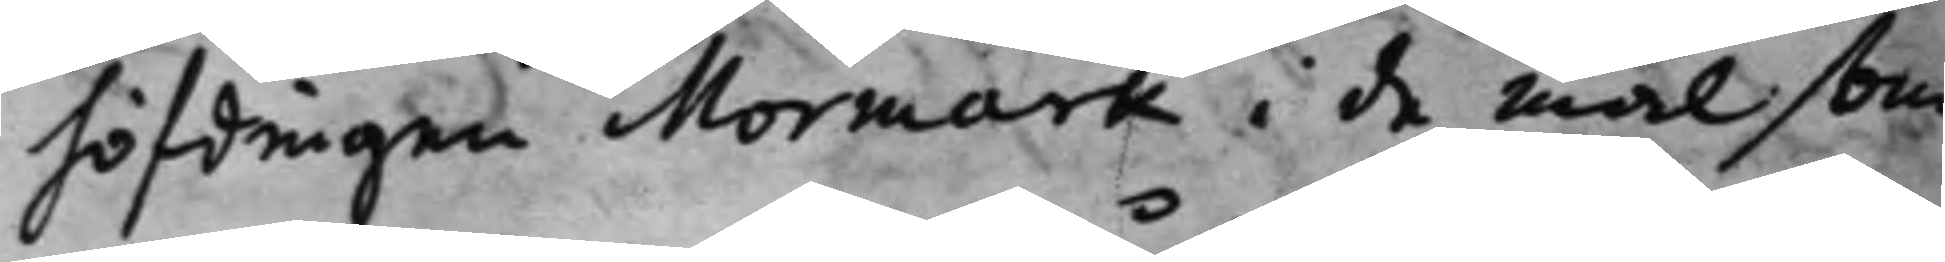höfdingen Mormark i de mål som
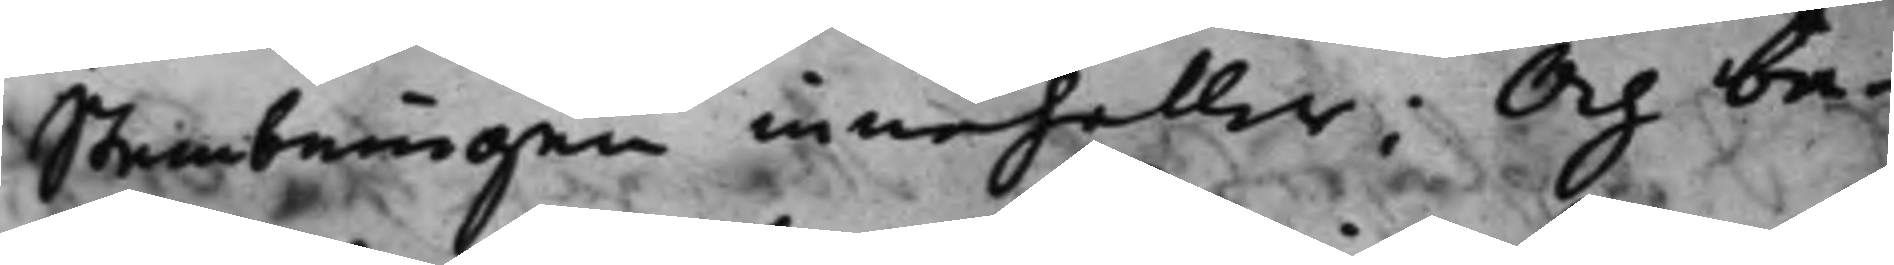Stembningen innehåller; Och be¬
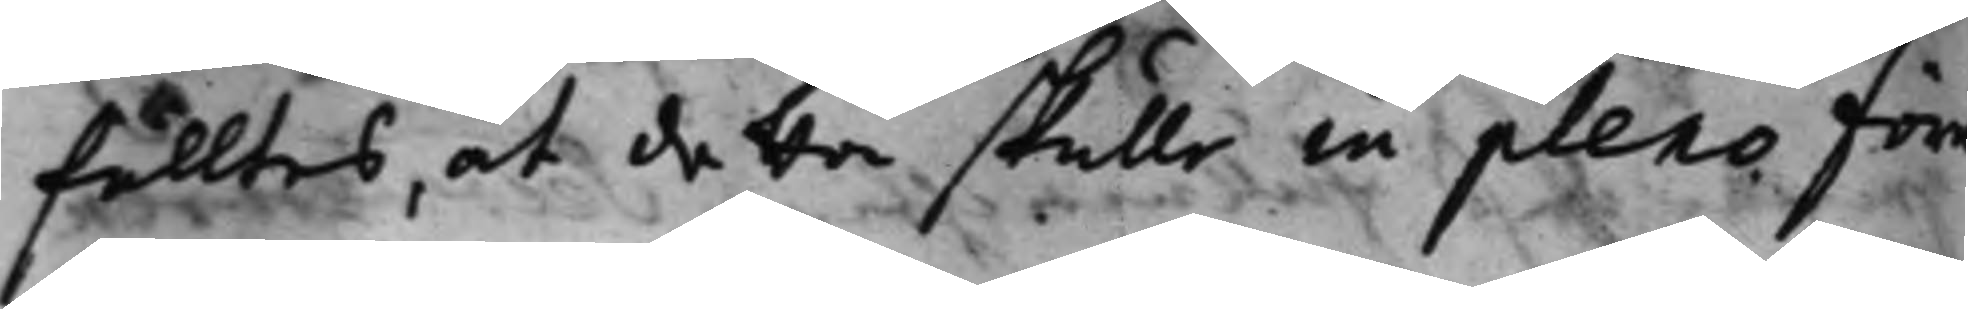falltes, at detta skulle in pleno före¬
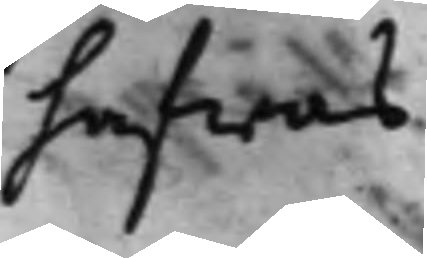hafwas.
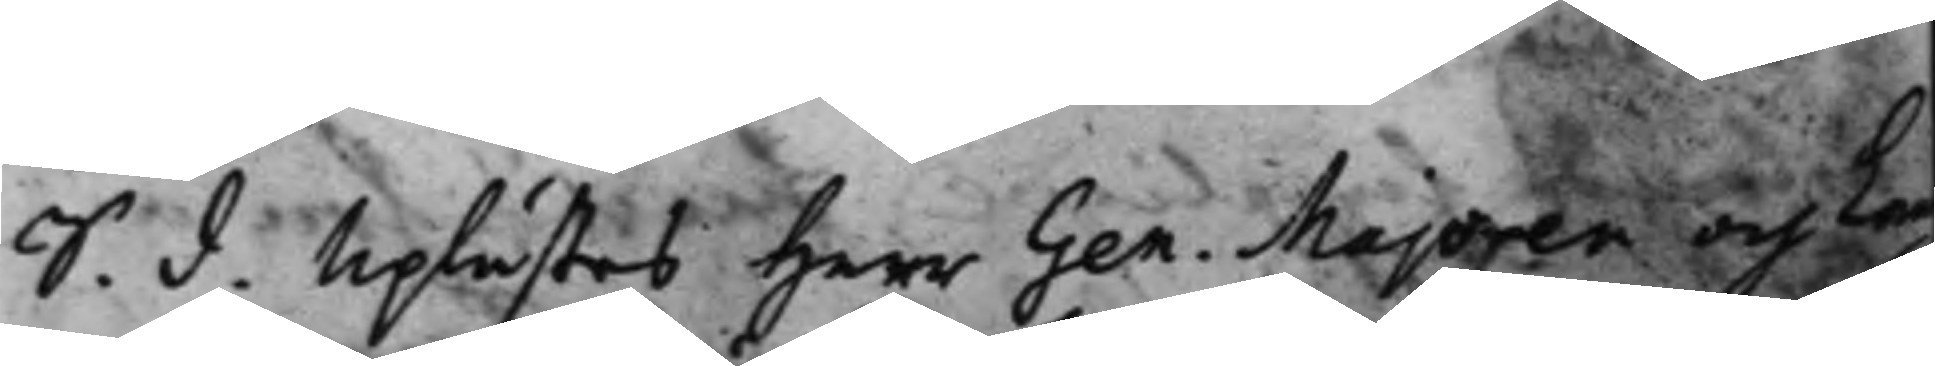S. d. Uplästes Herr Gen. Majoren och Lan
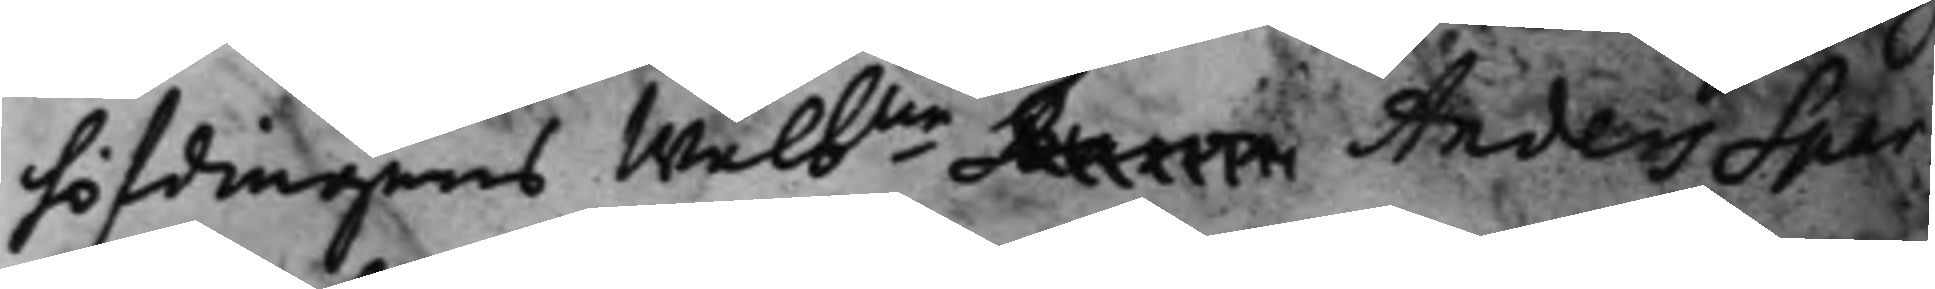höfdingens Wälbne Baron Anders Spar¬
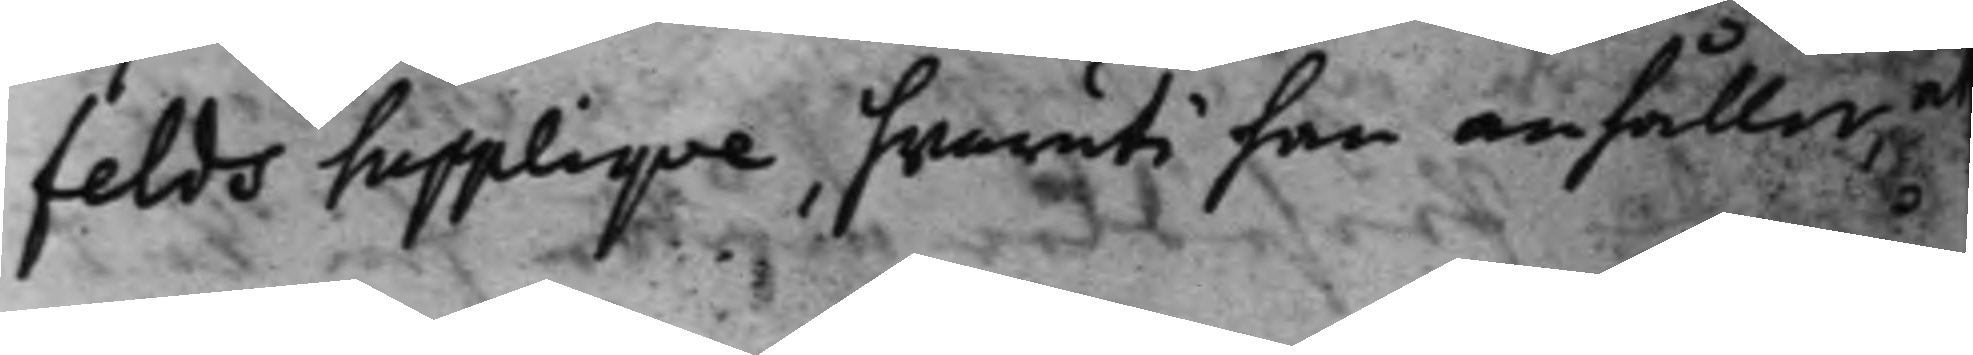felds Suppliqve, hvaruti han anhåller at
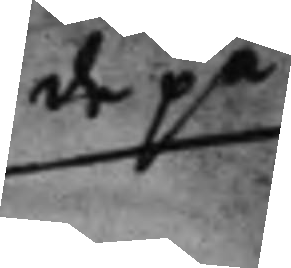de på
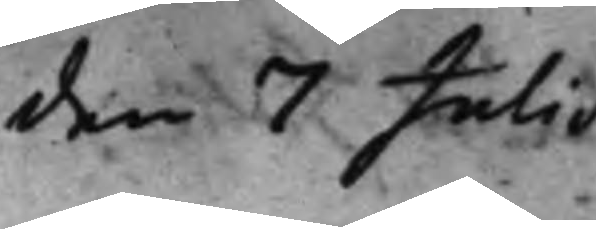den 7 Julii
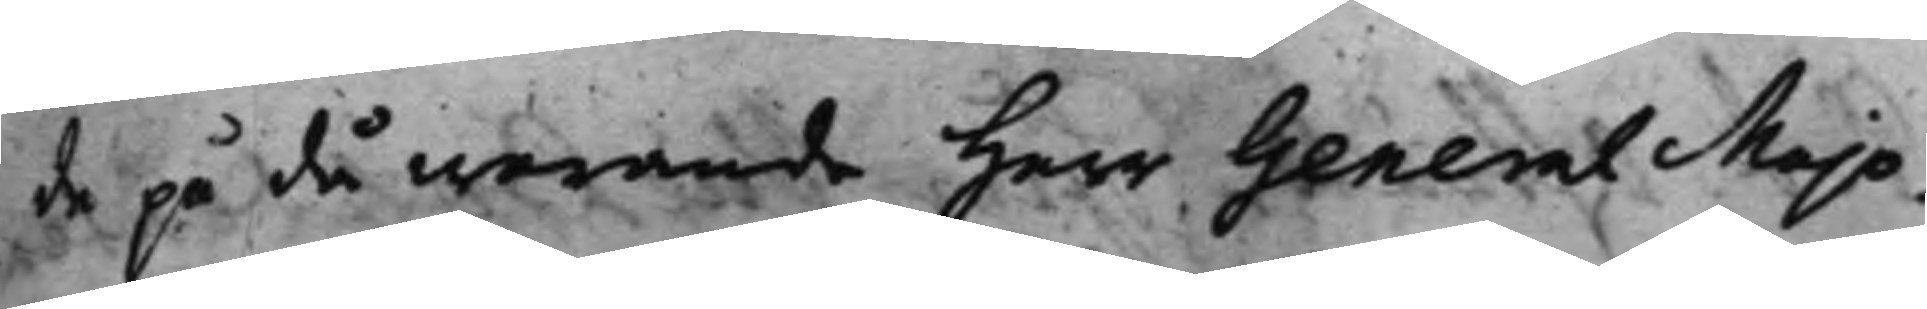de på då warande Herr General Majo¬
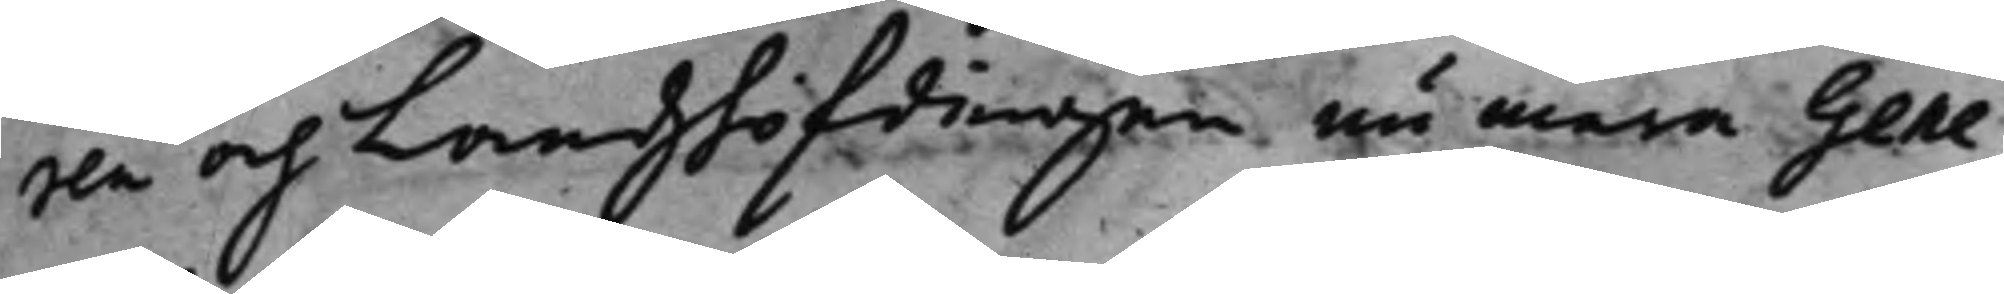ren och Landzhöfdingen nu mera Gene¬
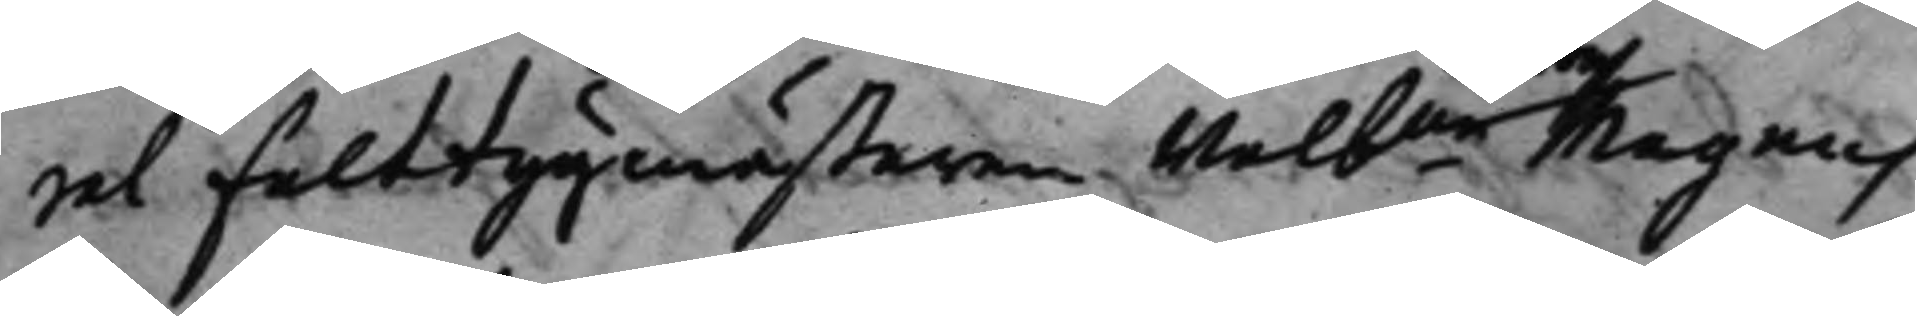ral Fälttygmästaren Wälbne Magnus
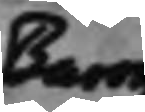Baron
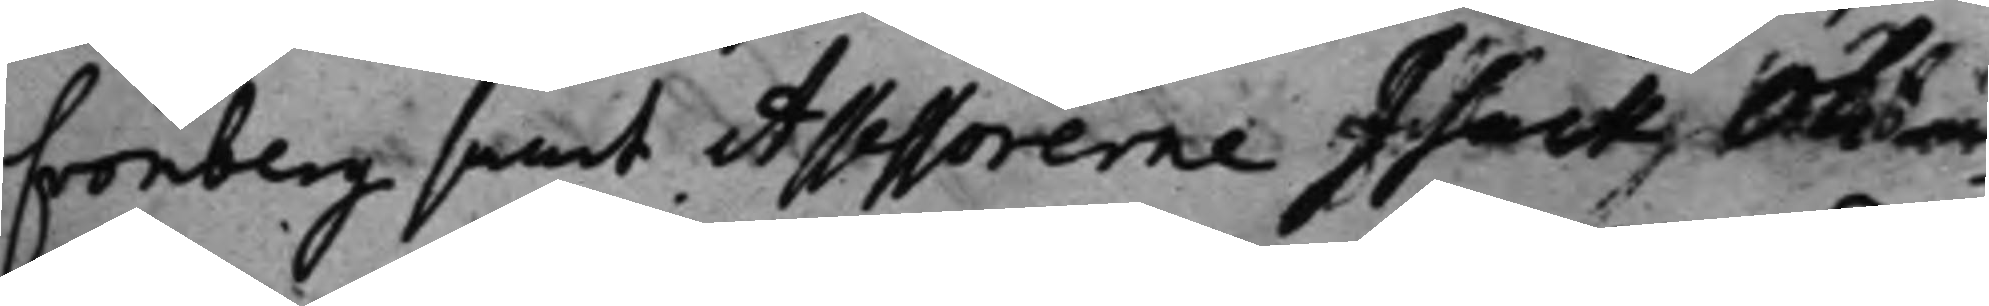Cronberg samt Assessorerne Isack Oli¬
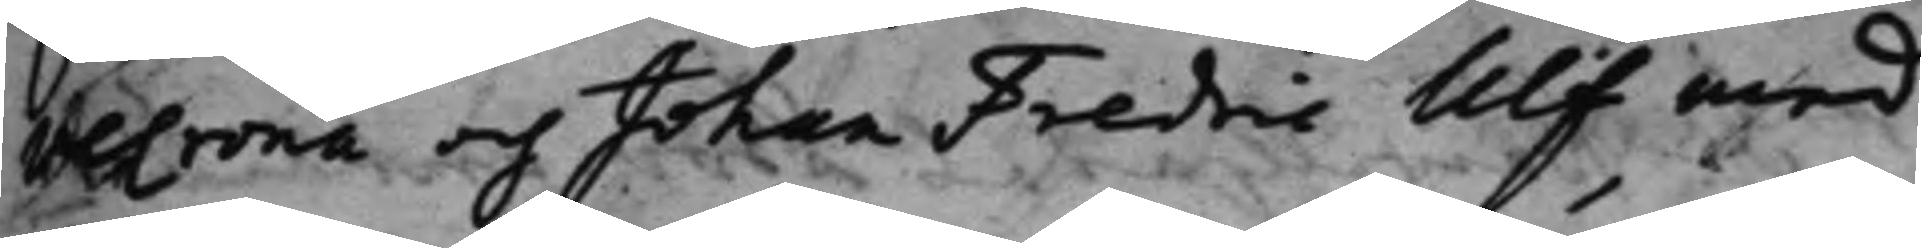veCrona och Johan Fredric Ulf med
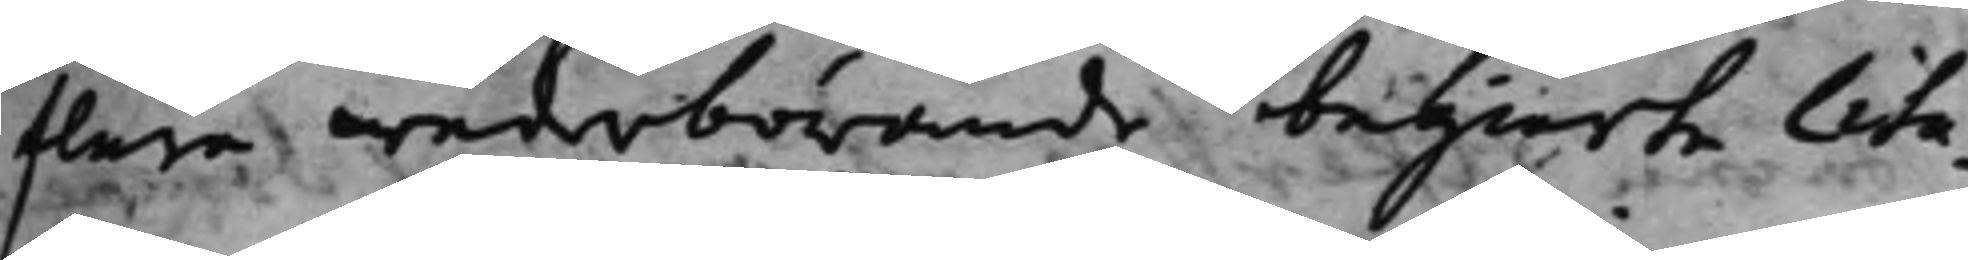flara wederbörande begierte Cita¬
